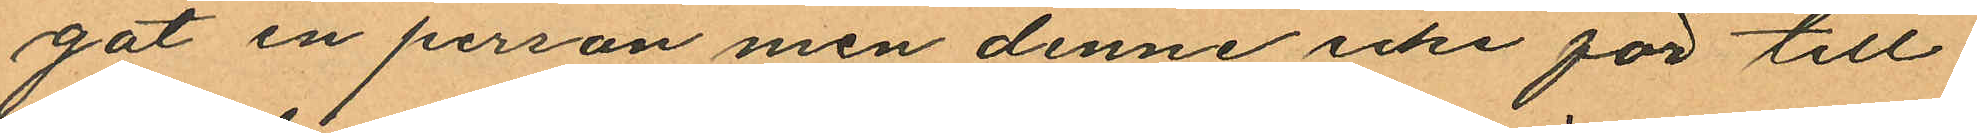gat en person men denne icke för till
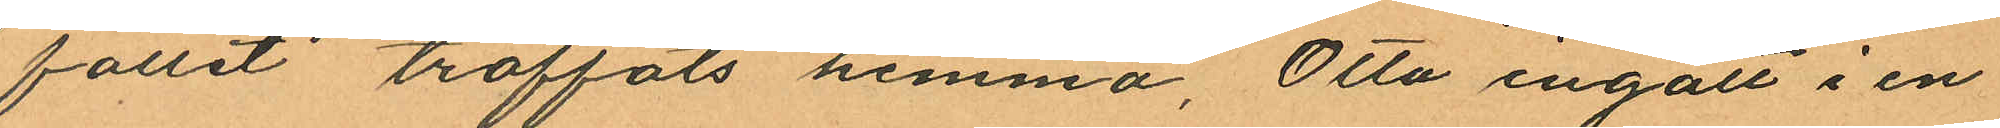fallit träffats hemma, Otto ingått i en
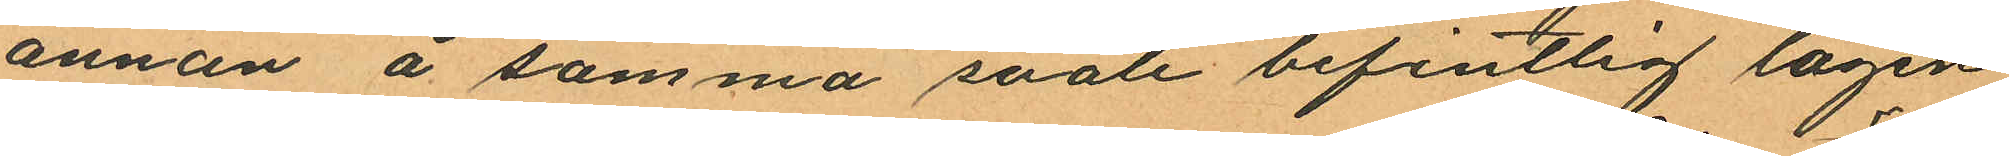annan å samma svale befintlig lägen
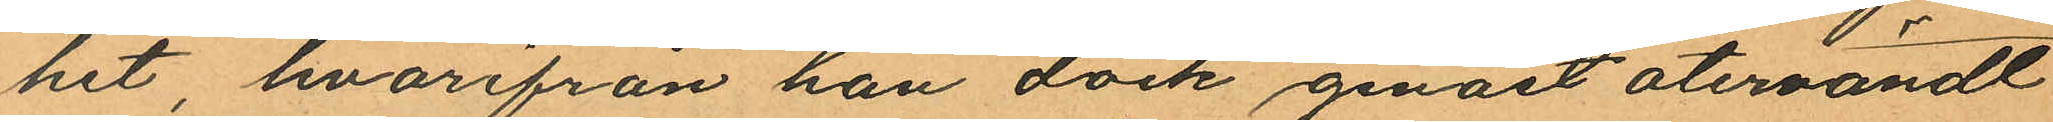het, hvarifrån han dock genast återvändt
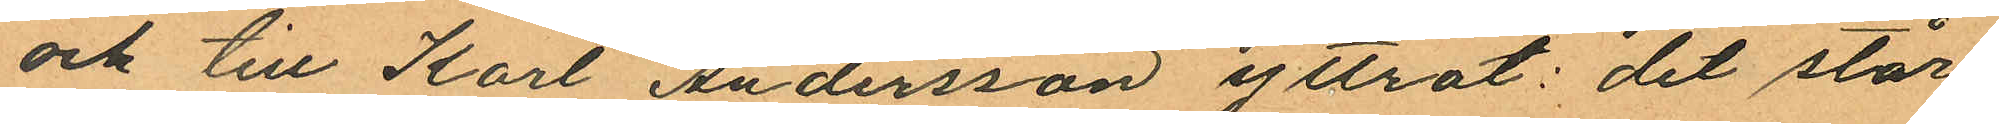och till Karl Andersson yttrat: "det står
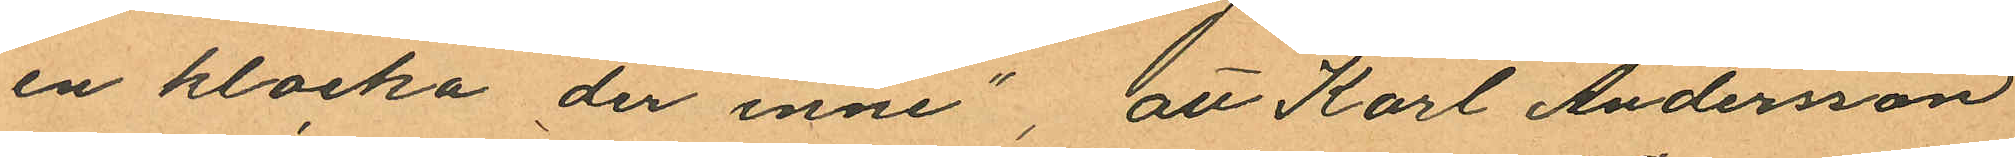en klocka der inne", att Karl Andersson
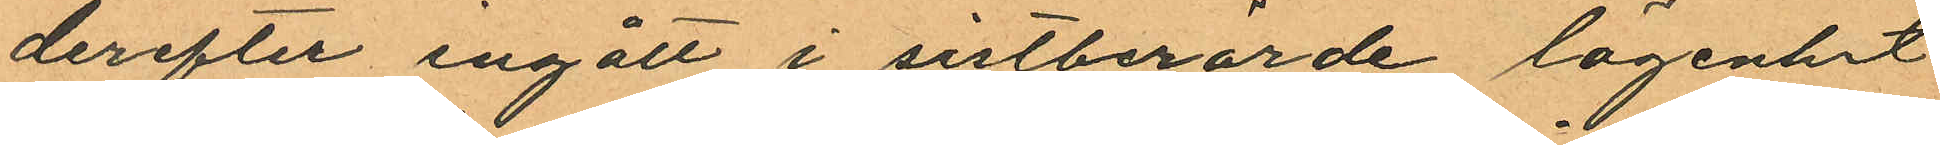derefter ingått i sistberörde lägenhet
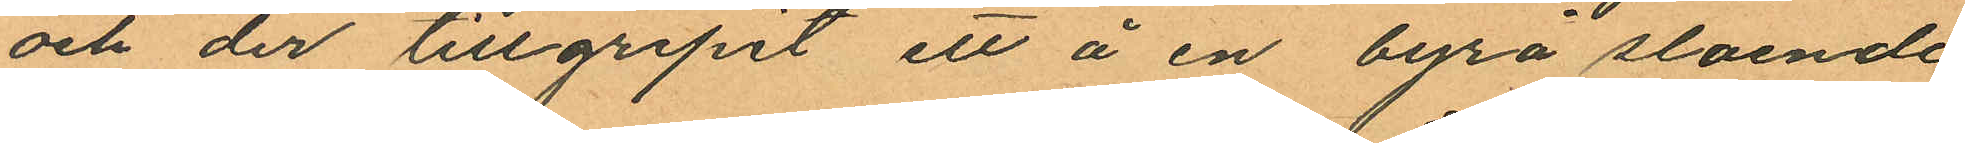och der tillgripit ett å en byrå slaende
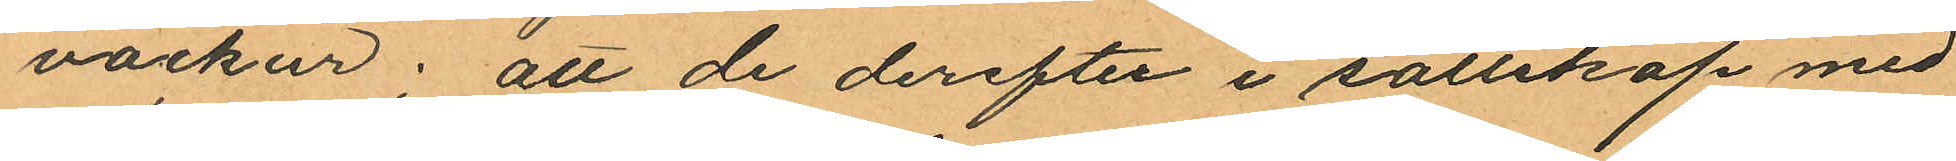väckur; att de derefter i sällskap med
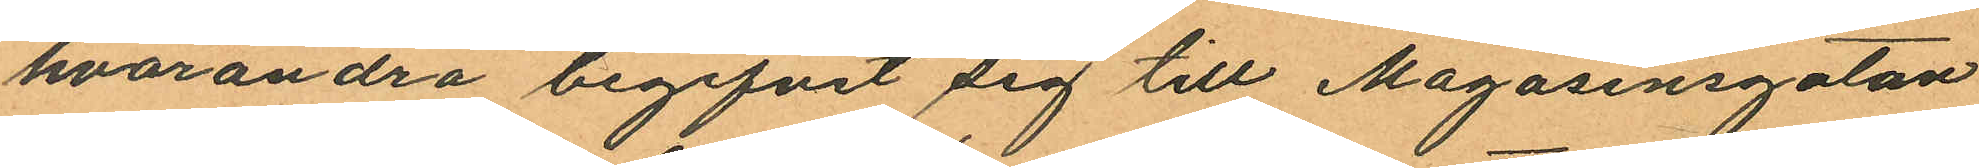hvarandra begifvit sig till Magasinsgatan
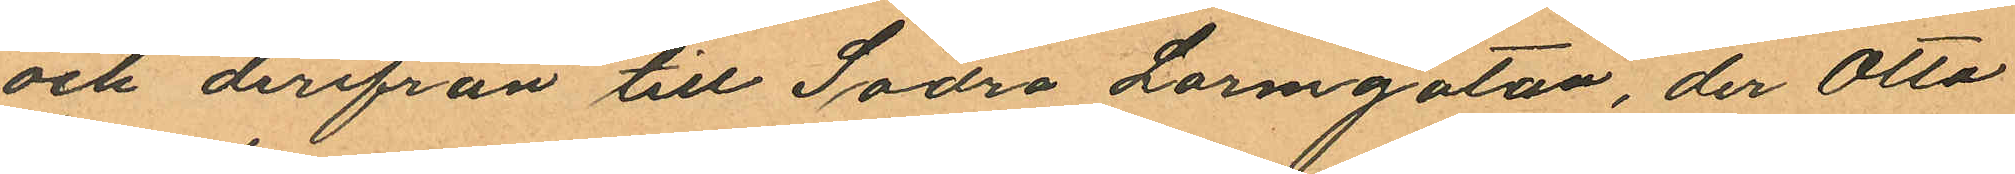och derifrån till Södra Larmgatan, der Otto
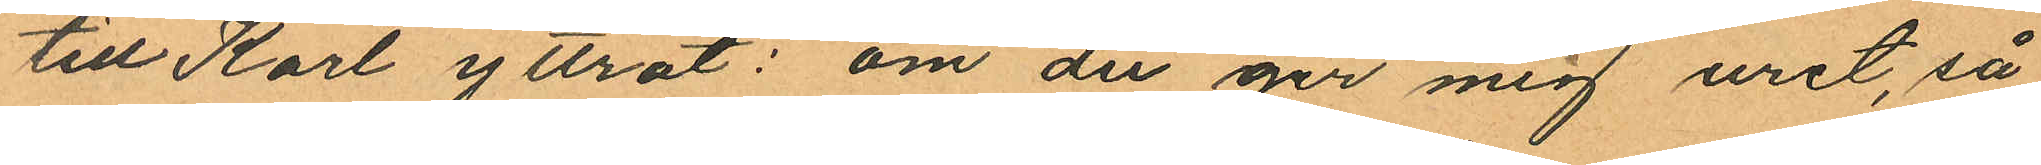till Karl yttrat: om du ger mig uret, så
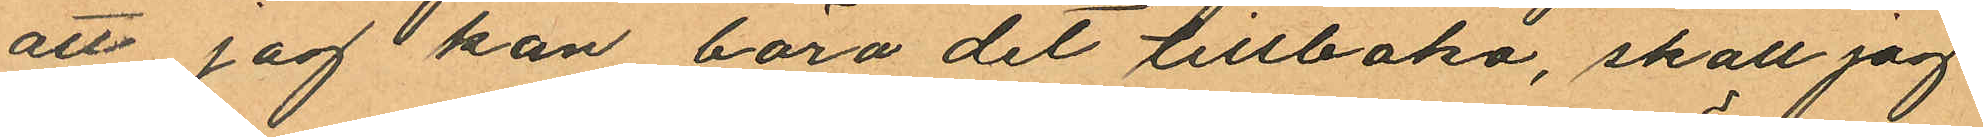att jag kan bära det tillbaka, skall jag
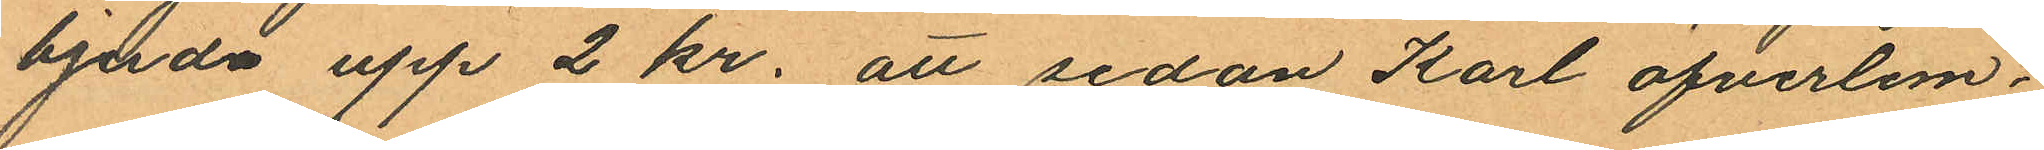bjuda upp 2 kr. att sedan Karl öfverlem¬
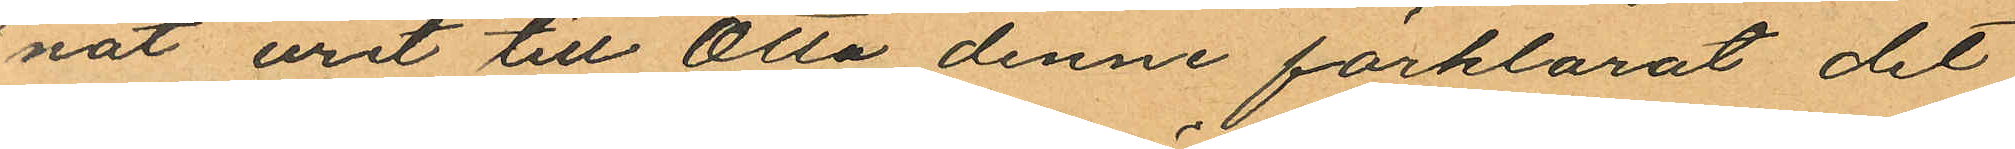nat uret till Otto denne förklarat det
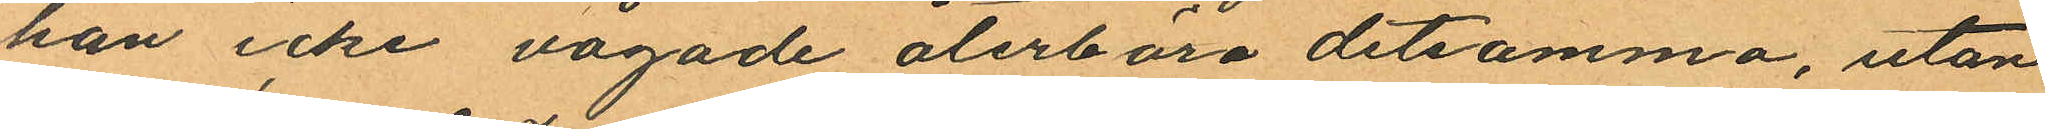han icke vågade återbära detsamma, utan
